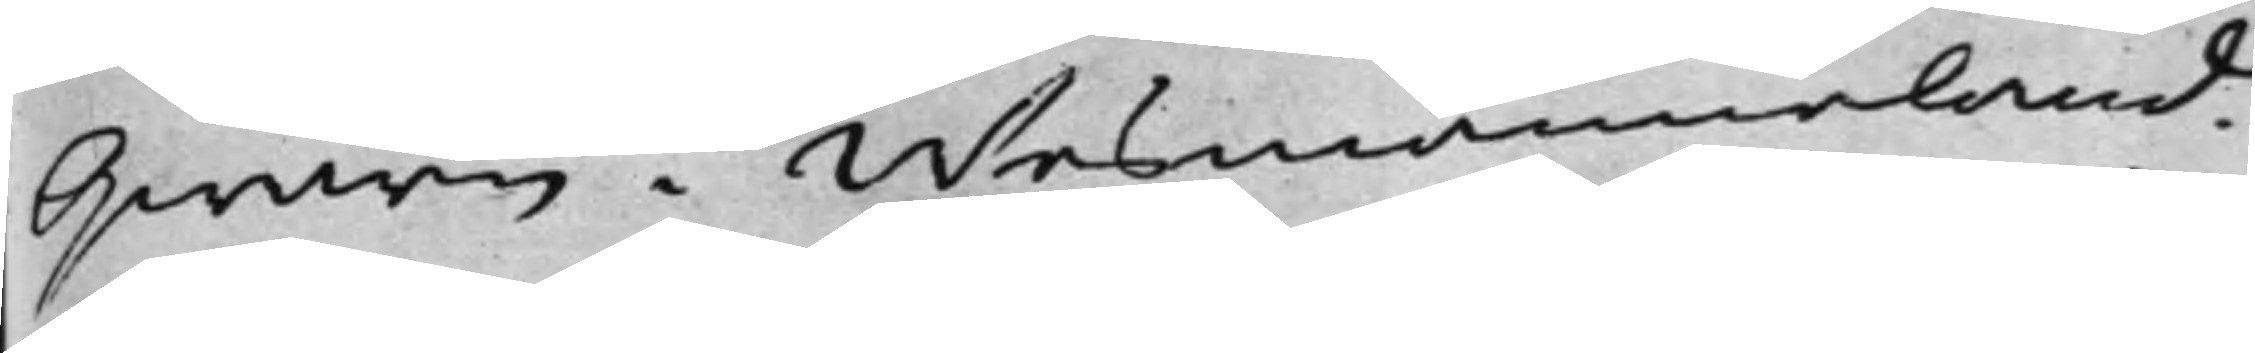Qwarn i Wesmanneland,
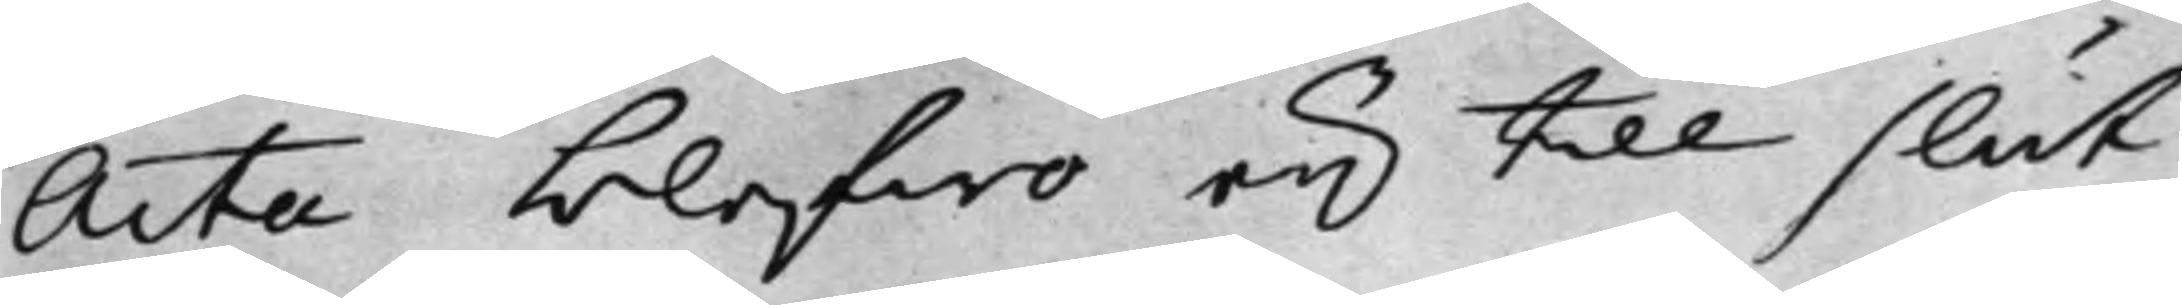Acta blefwo eij till slut
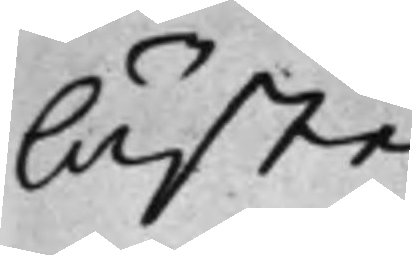läste.
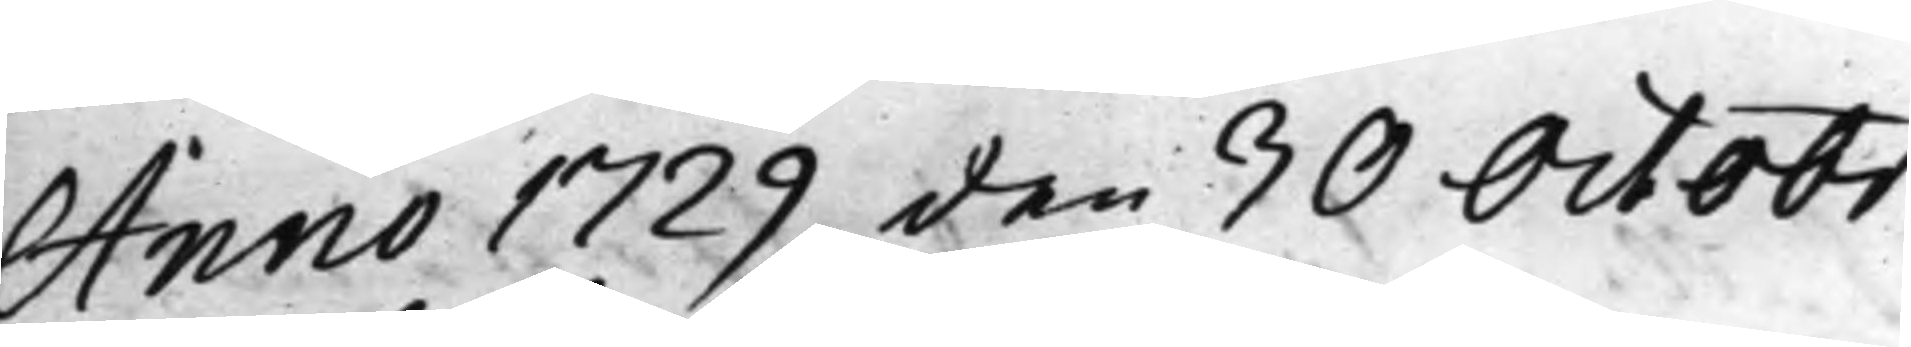Anno 1729 den 30 Octobr.
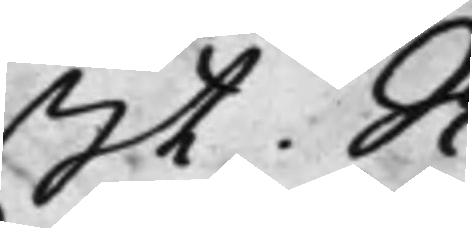St. R.
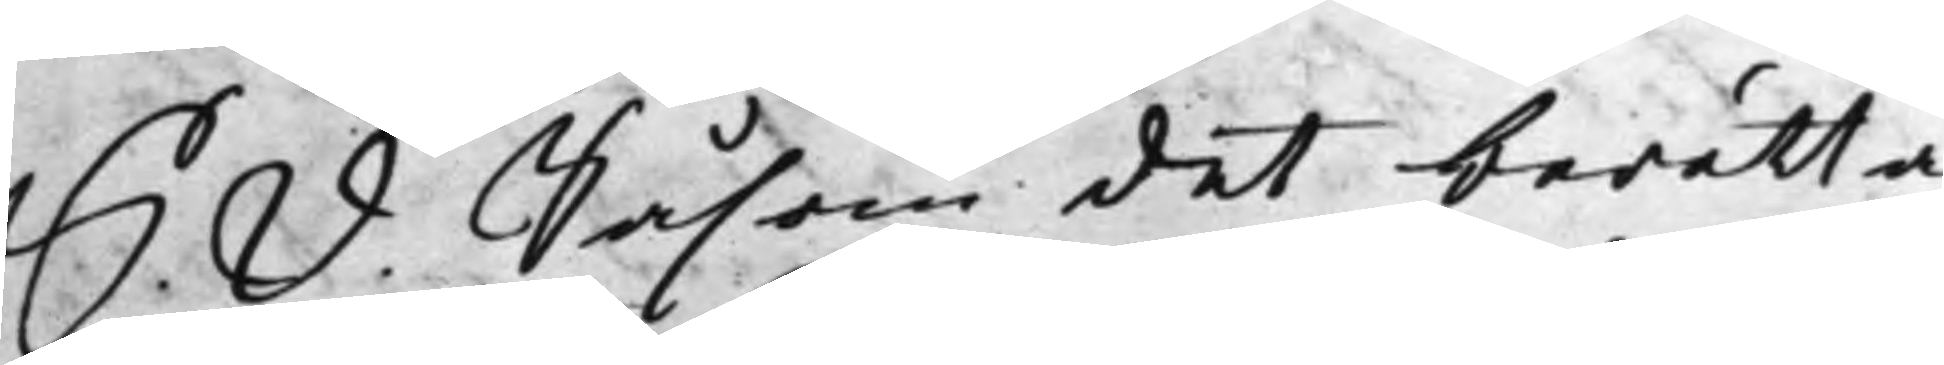S.  D. Såsom det berätta¬
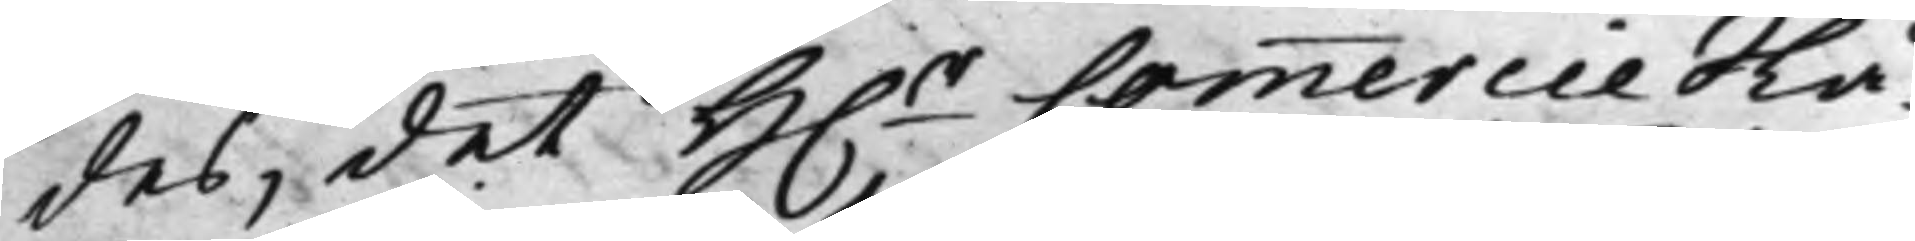des, det H.r CommercieRå¬
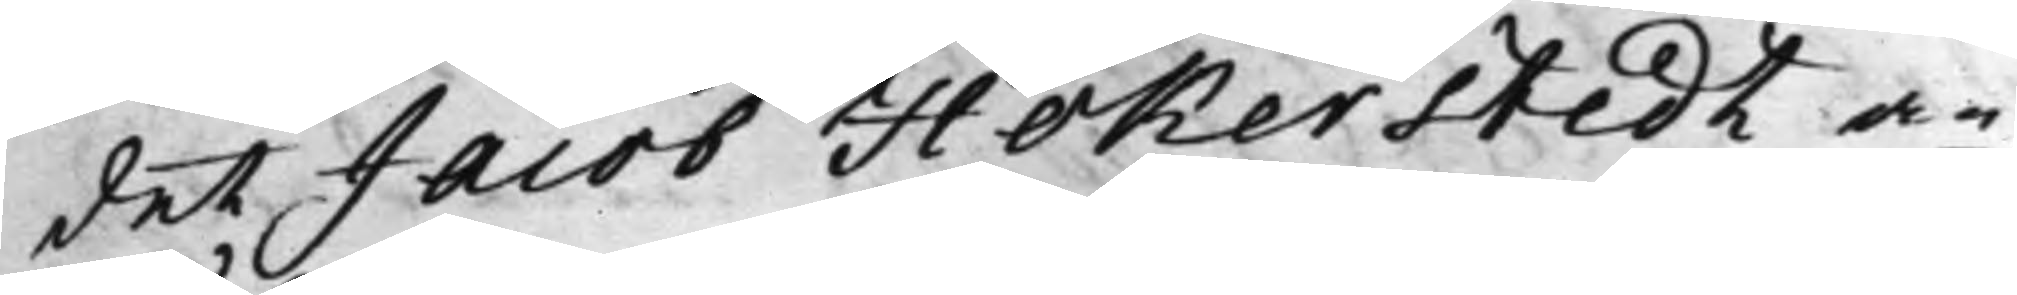det Jacob Hökerstedt an¬
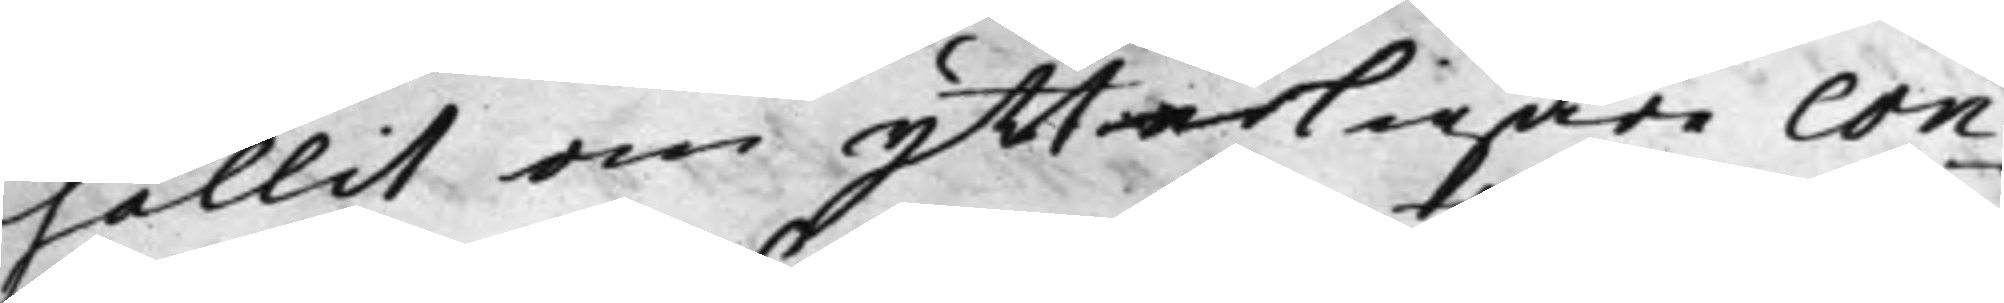hållit om ytterligare con¬
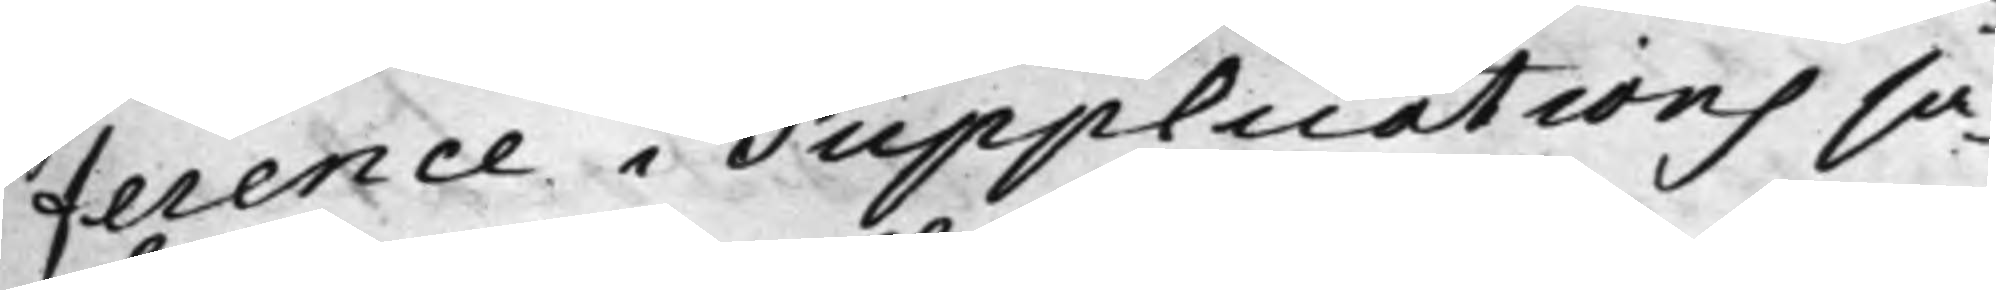ference i Supplications sa¬
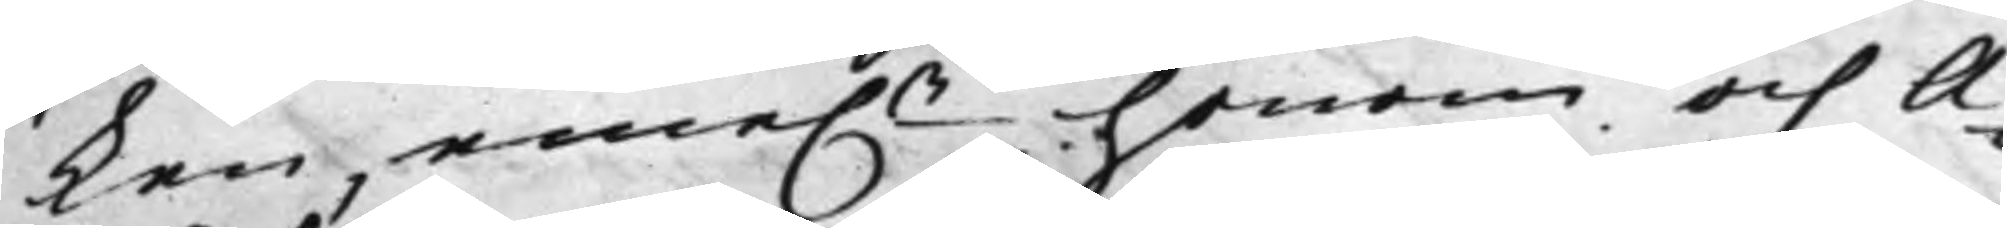ken, eme.n honom och A¬
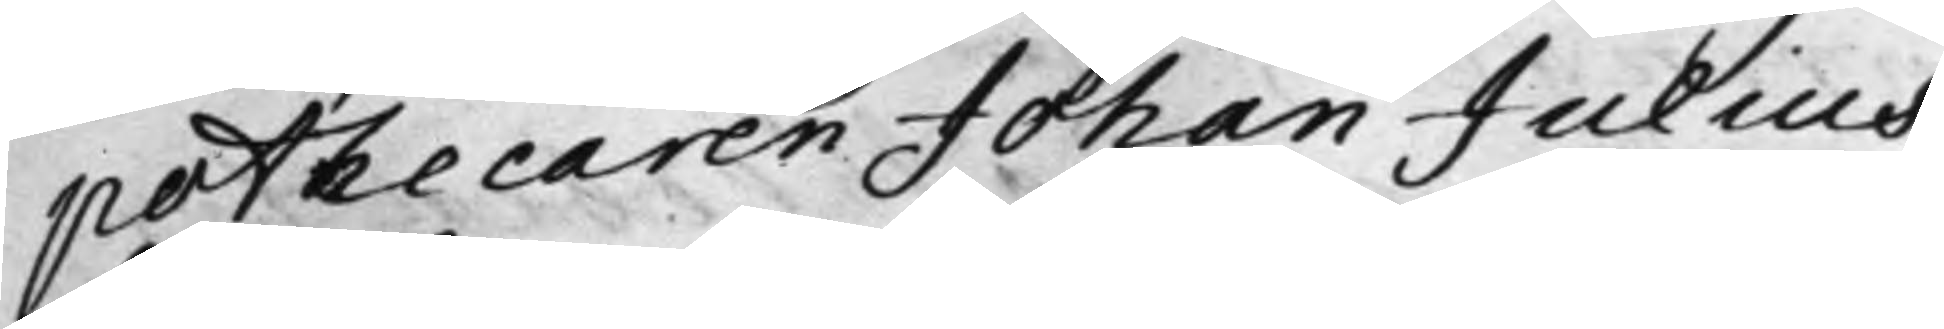pothecaren Johan Julius
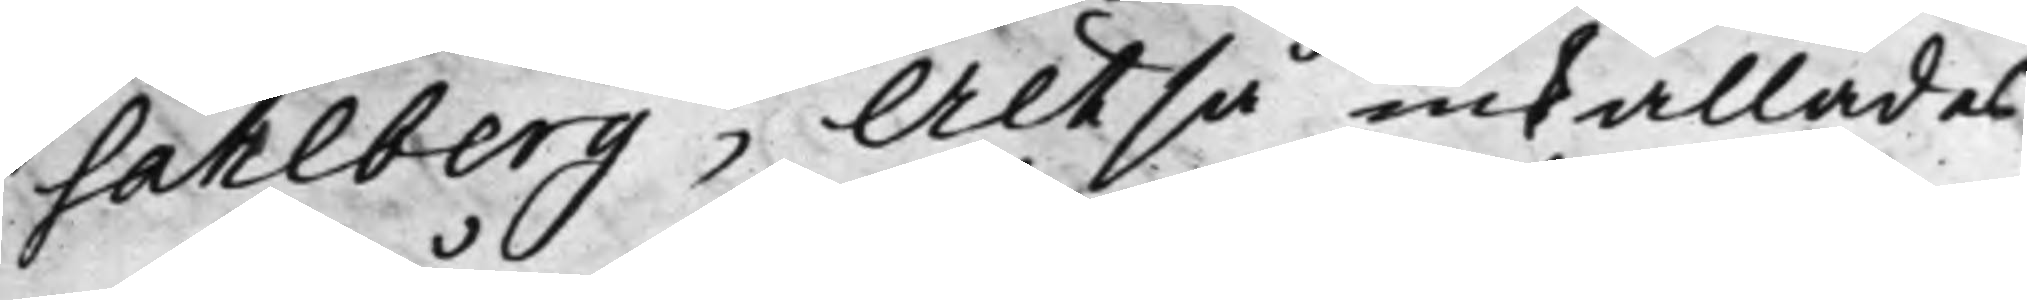Sahlberg; Altså inkallades
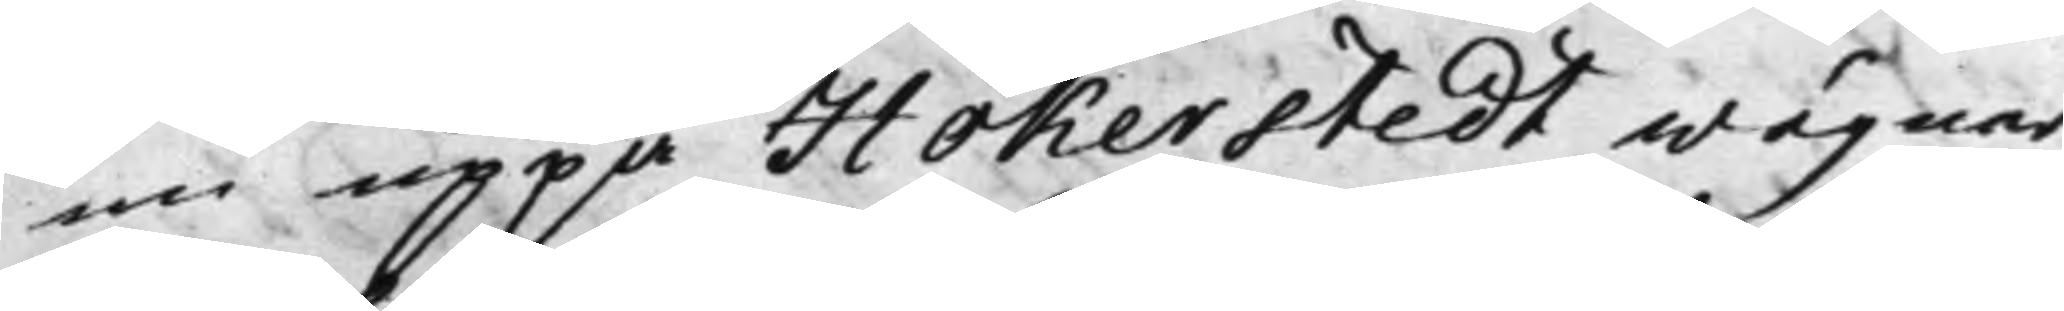nu uppå Hökerstedt wägnar,
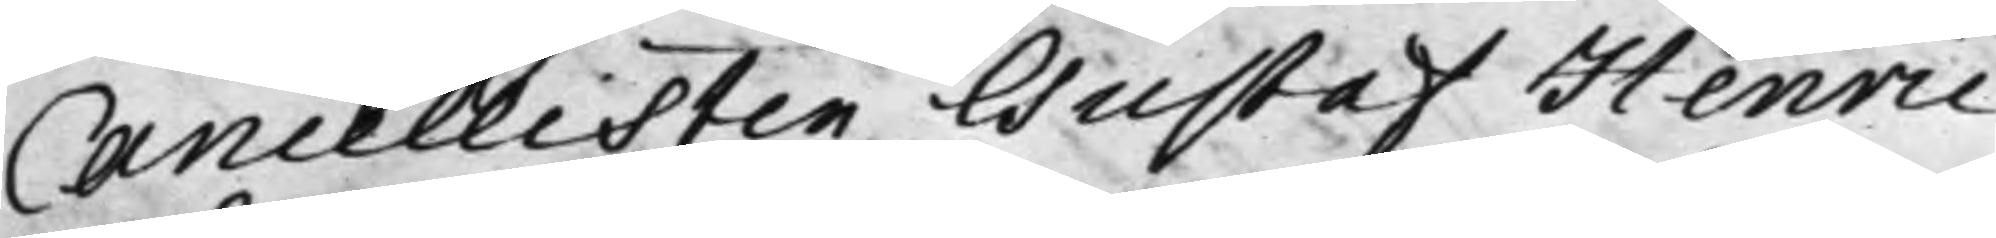Cancellisten Gustaf Henric
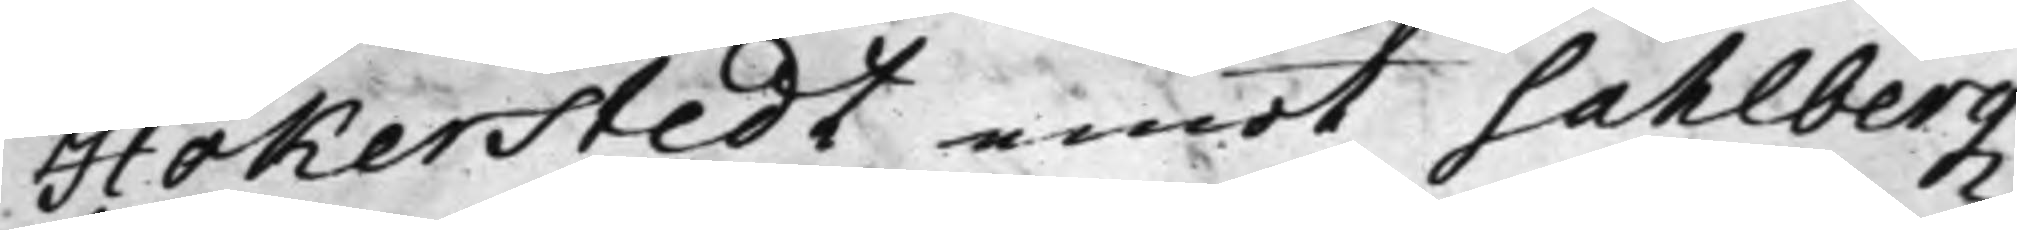Hökerstedt emot Sahlbergz
